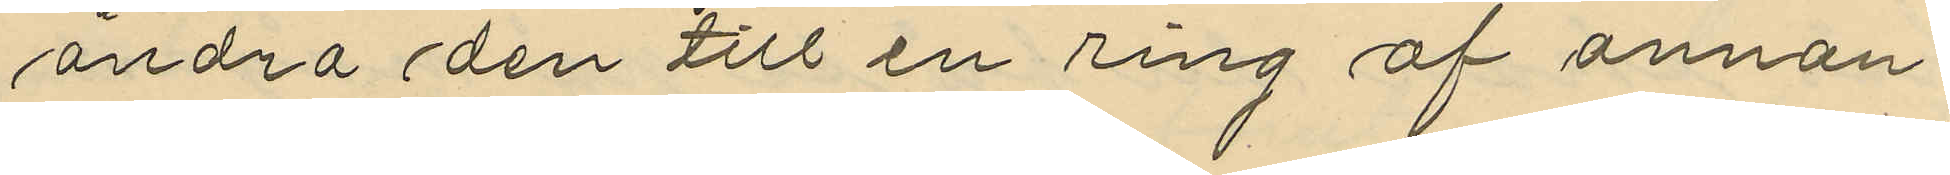andra den till en ring af annan
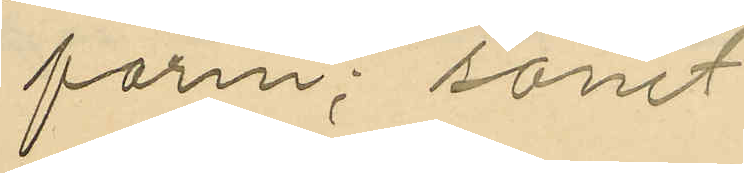form; samt
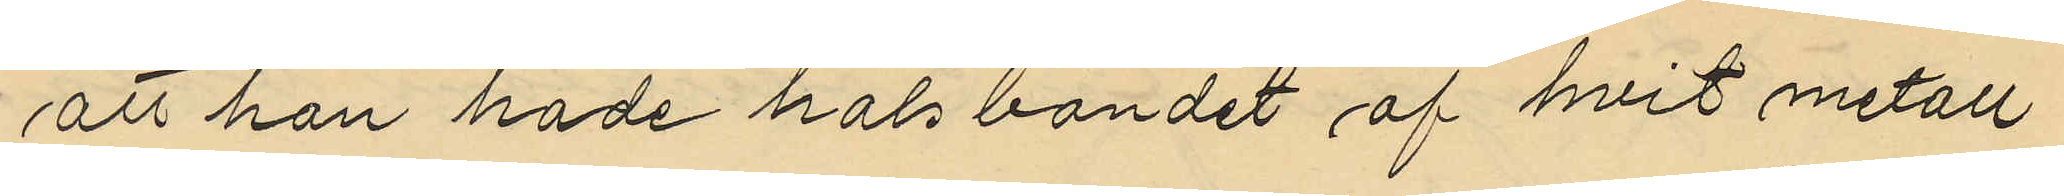att han hade halsbandet af hvit metall
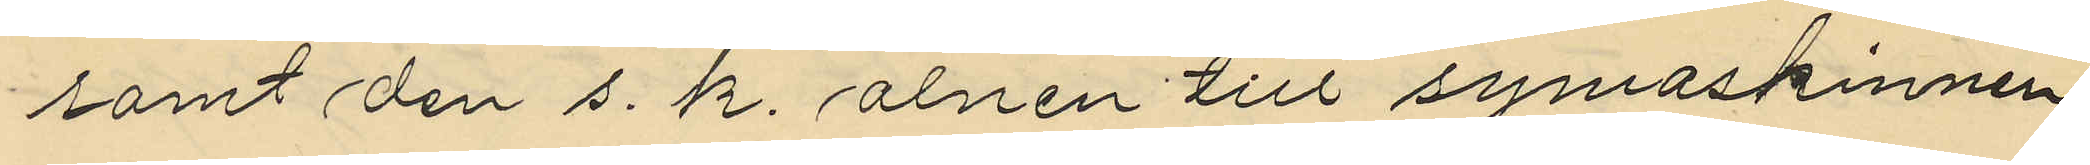samt den s. k. alnen till symaskinnen
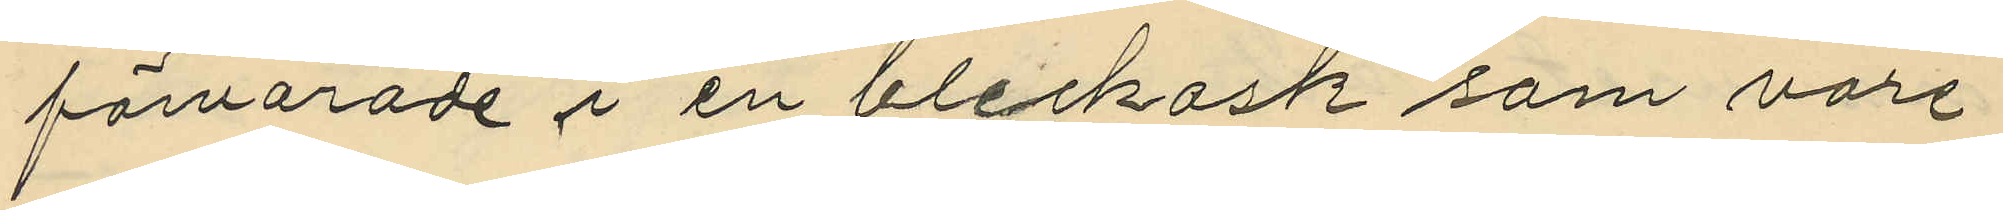förvarade i en bleckask som vore
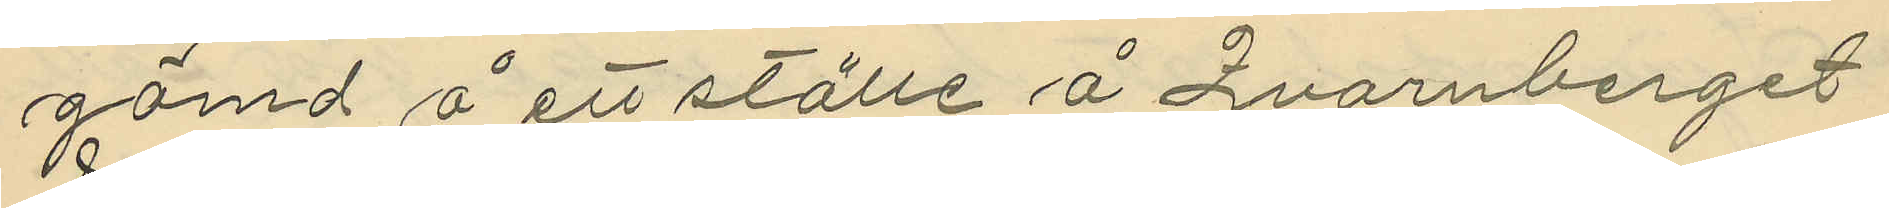gömd å ett ställe å Qvarnberget
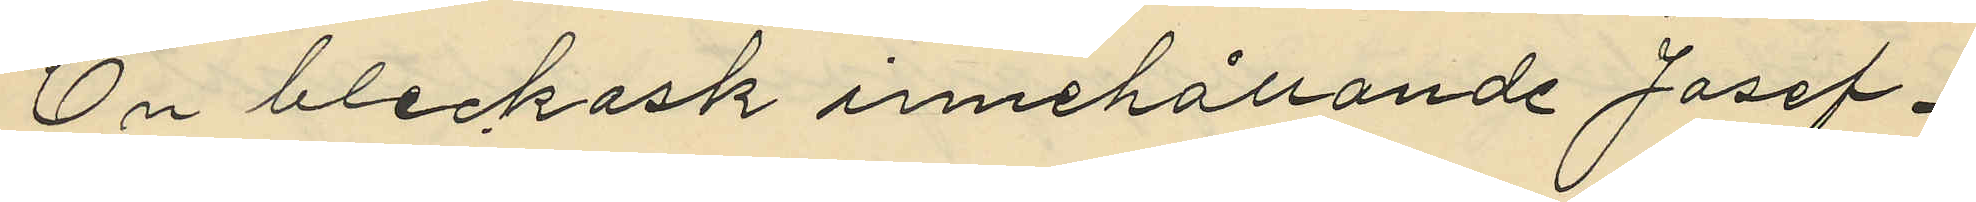En bleckask innehållande Josef¬
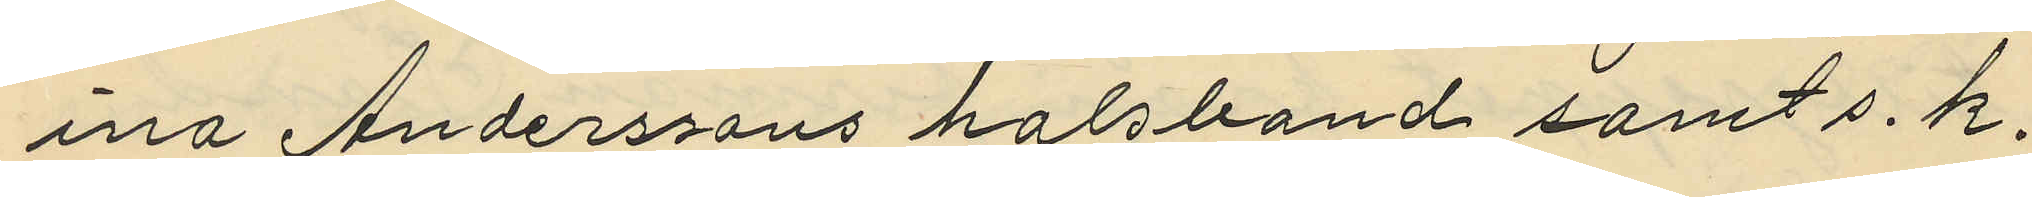ina Anderssons halsband samt s. k.
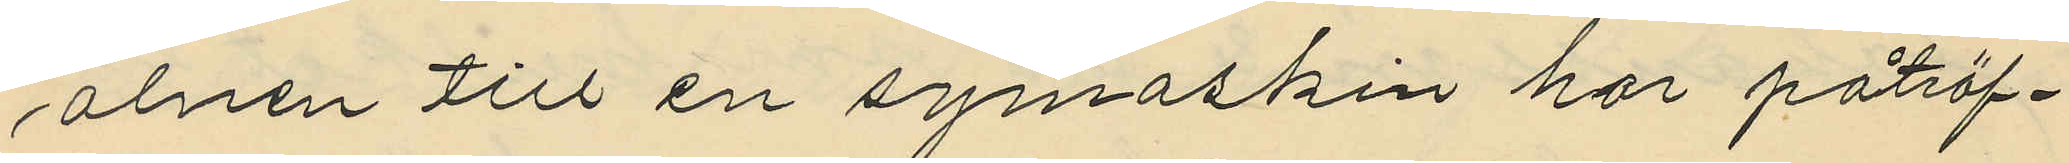alnen till en symaskin har påträf¬
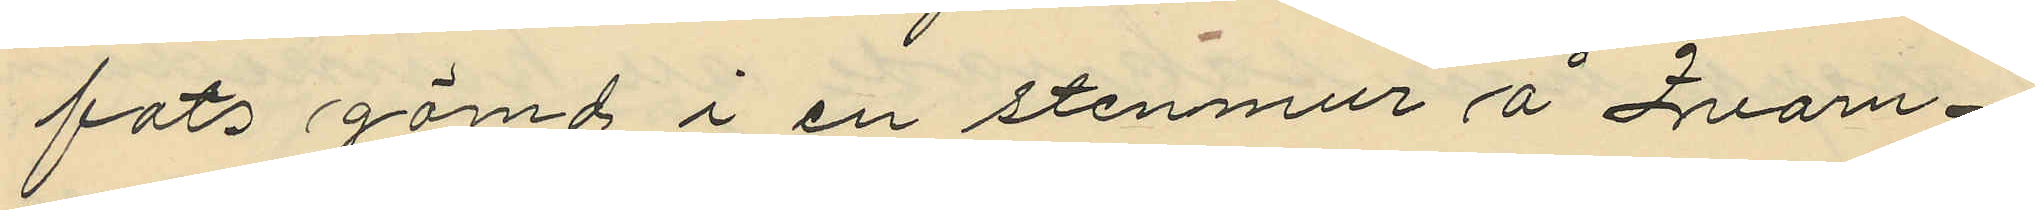fats gömd i en stenmur å Qvarn¬
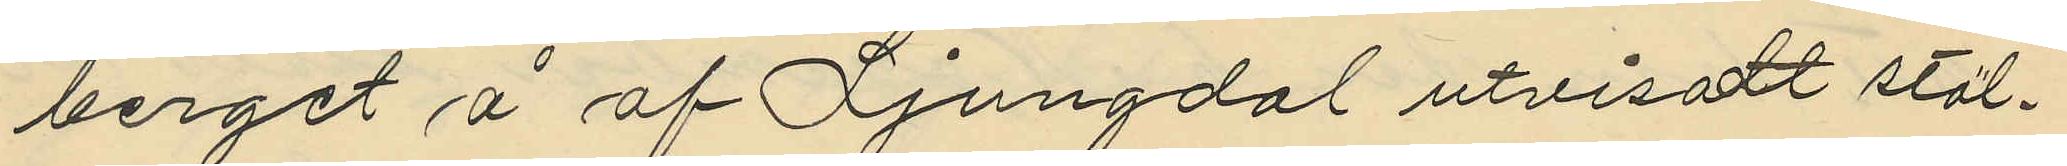berget å af Ljungdal utvisatt stäl¬
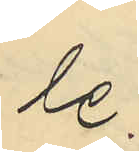le.
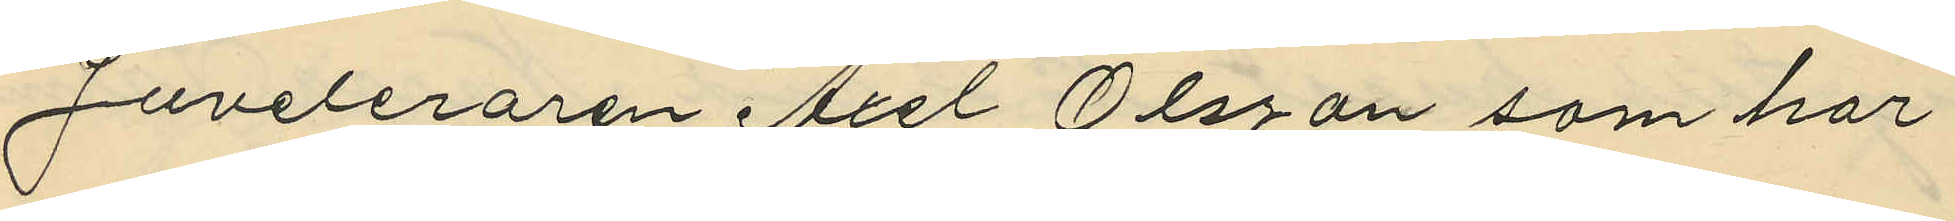Juveleraren Axel Olsson som har
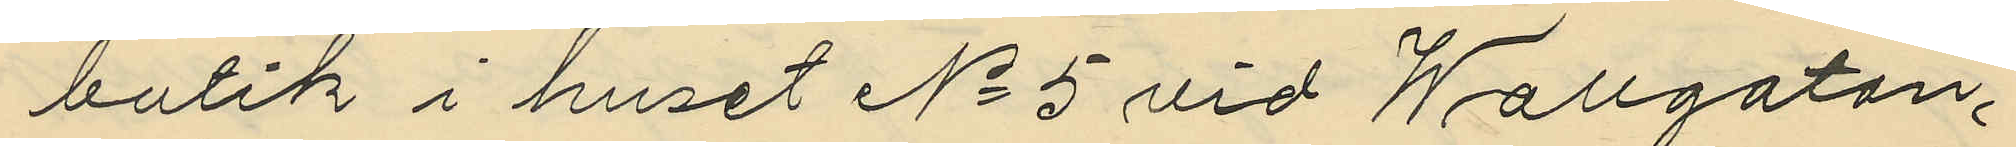butik i huset No 5 vid Wallgatan,
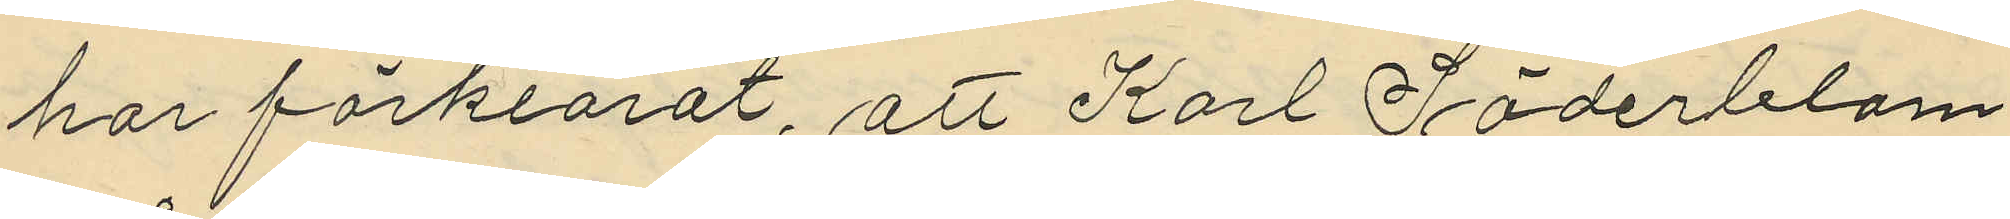har förklarat, att Karl Söderblom
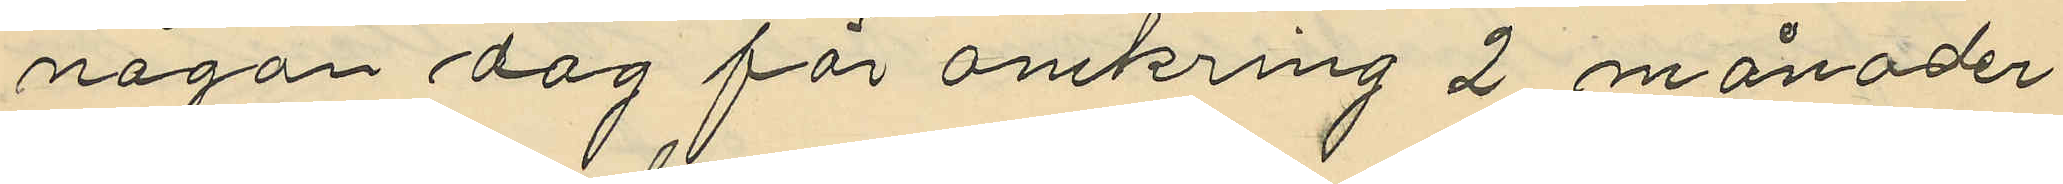någon dag för omkring 2 månader
